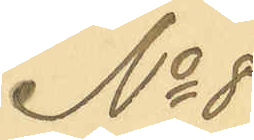No 8
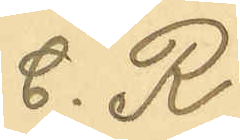C. R.
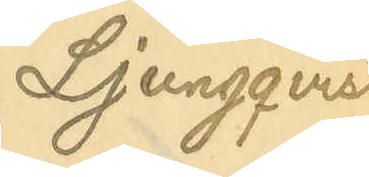Ljungqvist
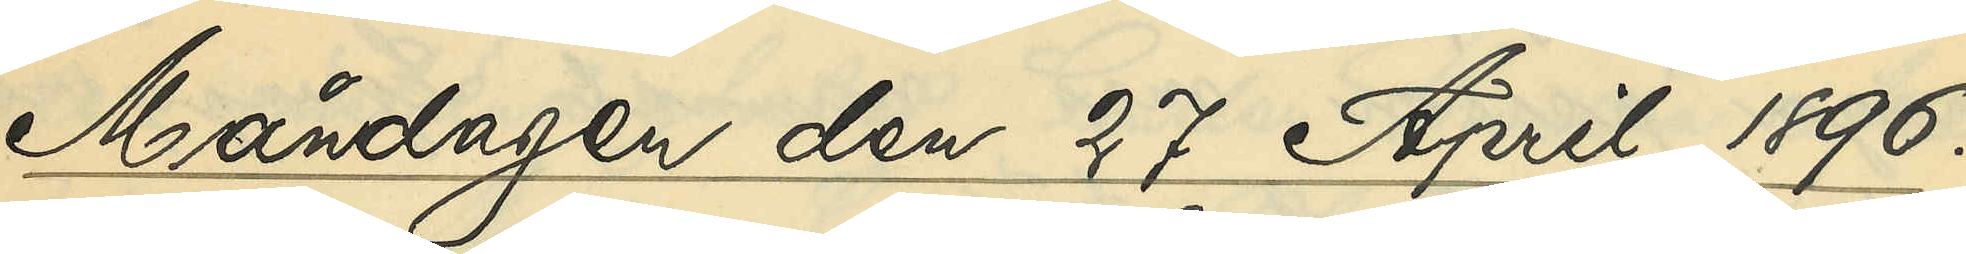Måndagen den 27 April 1896.
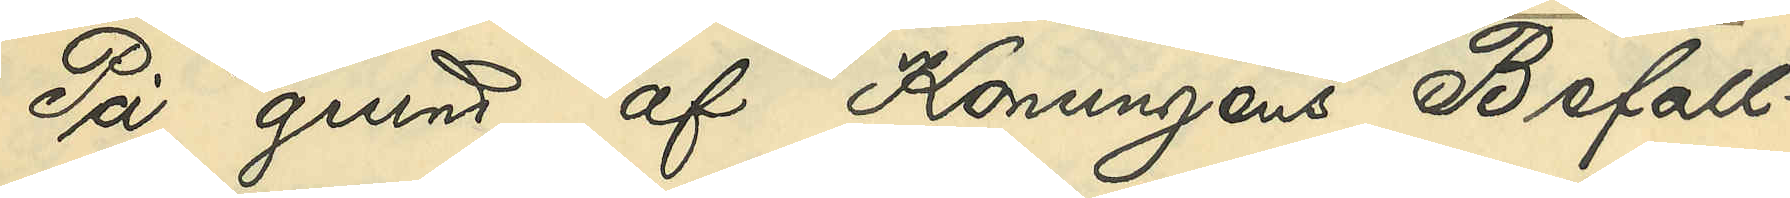På grund af Konungens Befall¬
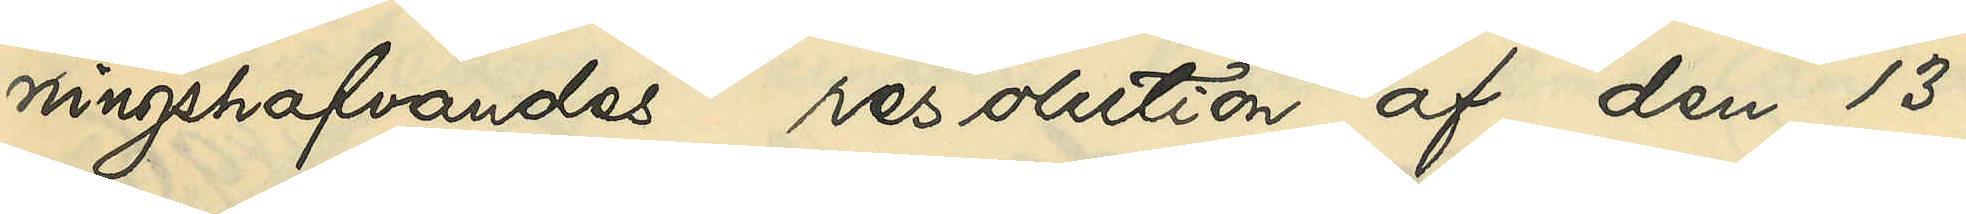ningshafvandes resolution af den 13
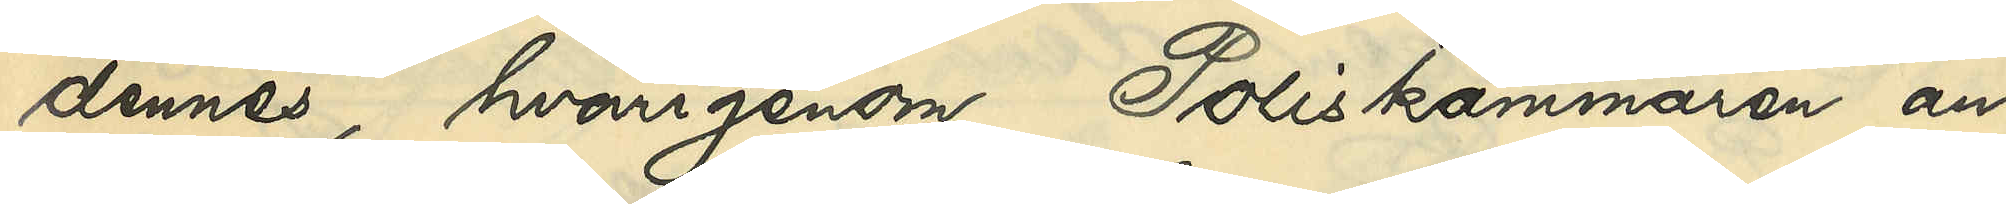dennes, hvarigenom Poliskammaren an¬
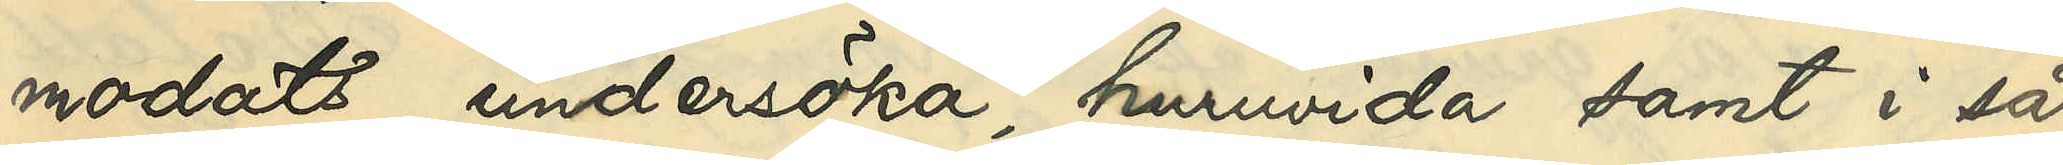modats undersöka, huruvida samt i så
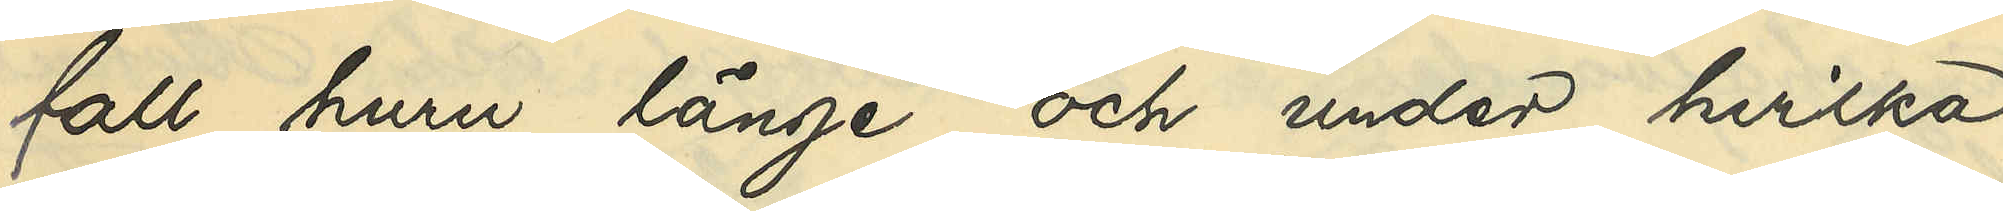fall huru länge och under hvilka
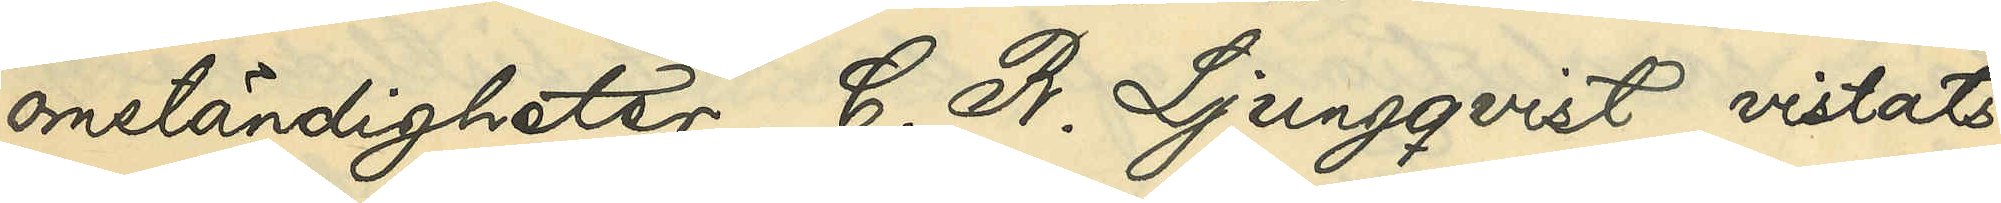omständigheter C. R. Ljungqvist vistats
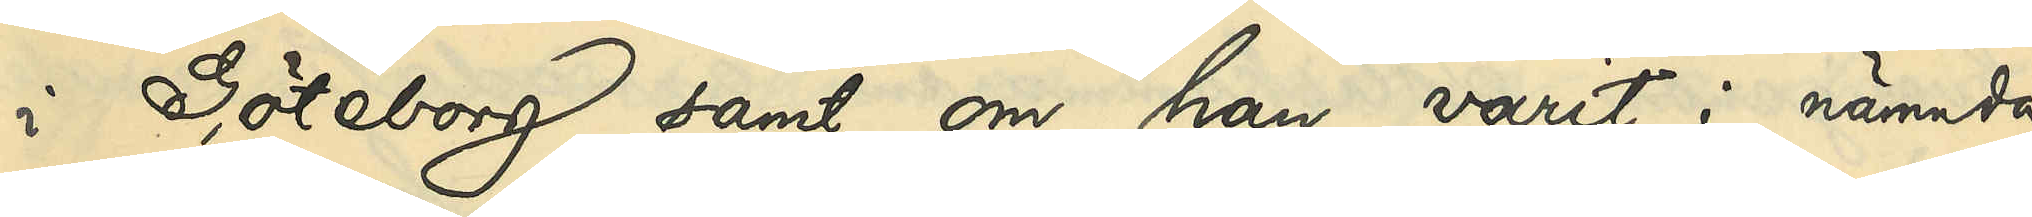i Göteborg samt om han varit i nämnda
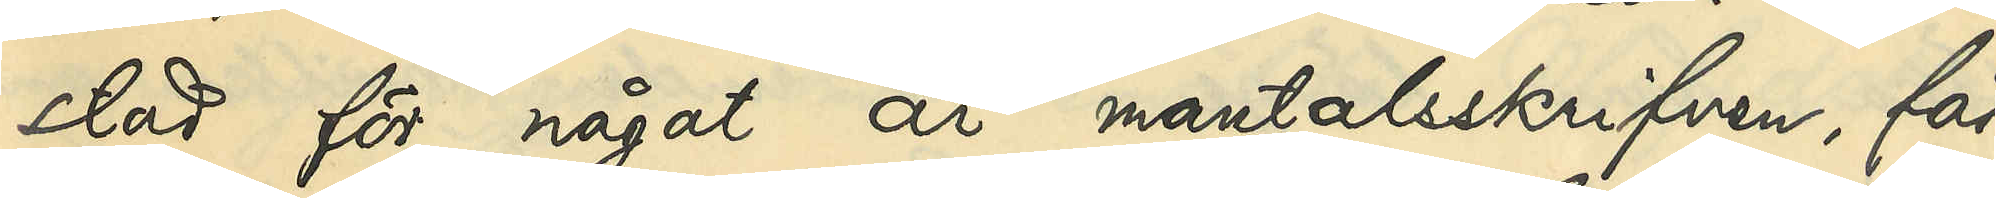stad för något år mantalsskrifven, får
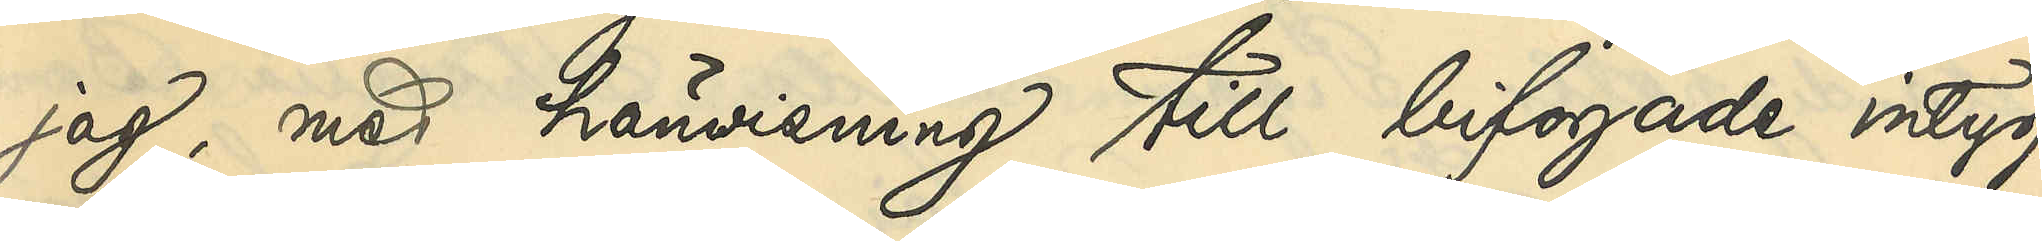jag, med hänvisning till bifogade intyg
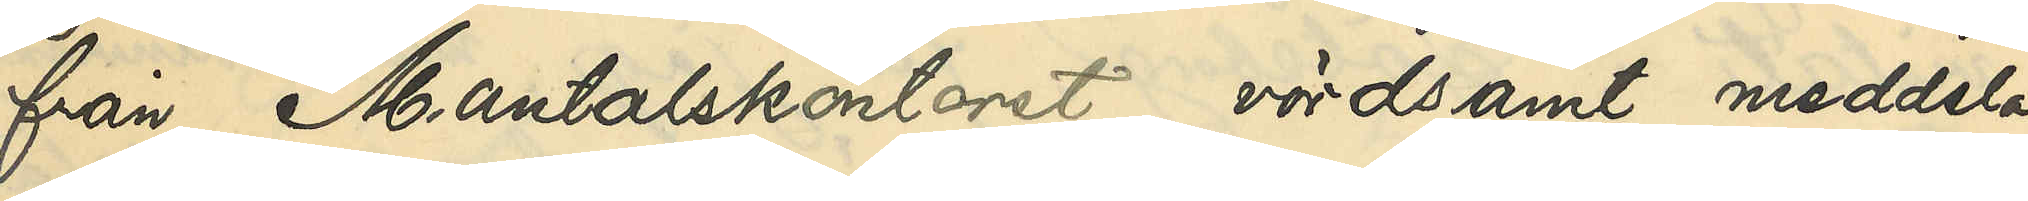från Mantalskontoret, vördsamt meddela,
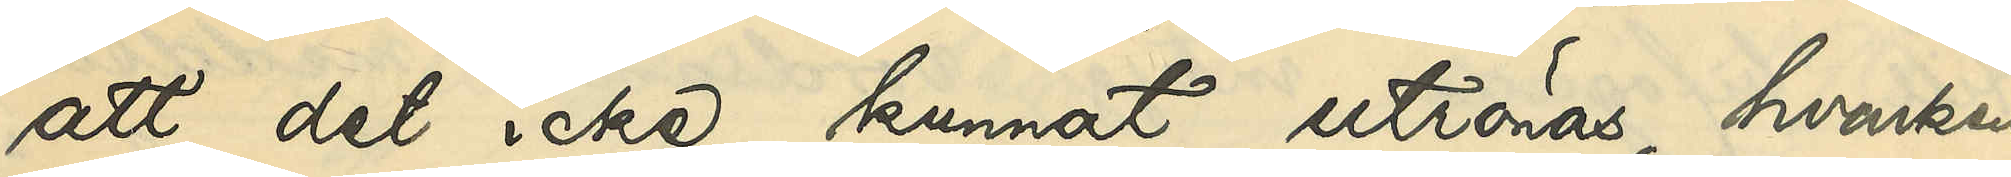att det icke kunnat utrönas, hvarken
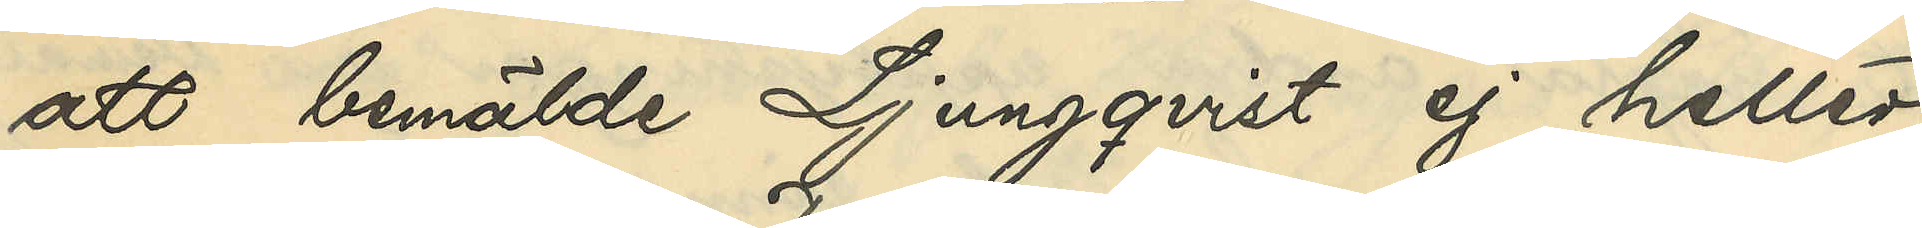att bemälde Ljungqvist ej heller
